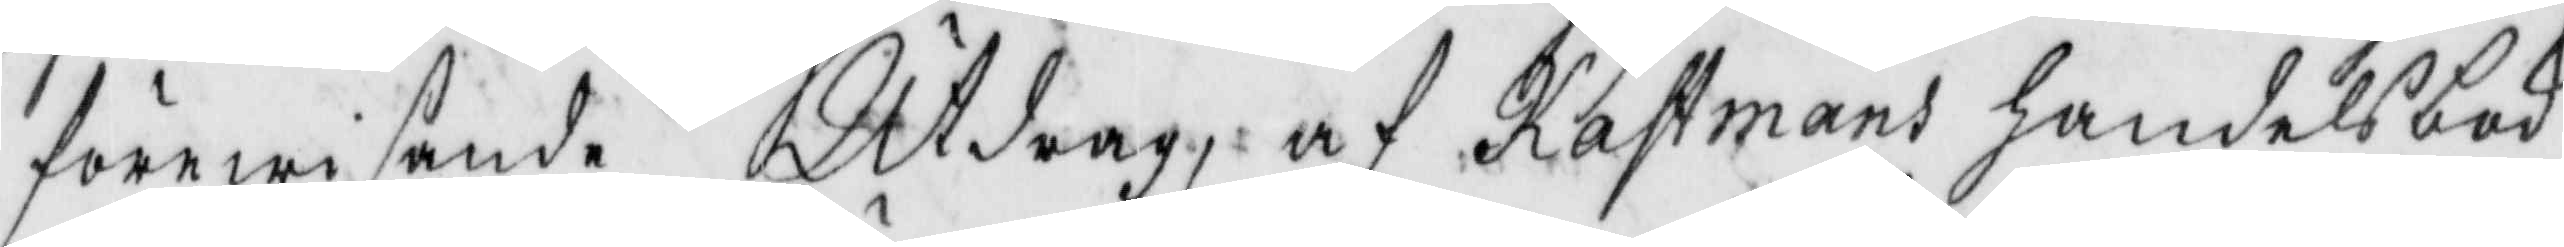dörewisande Utdrag af kastmans handelsbok
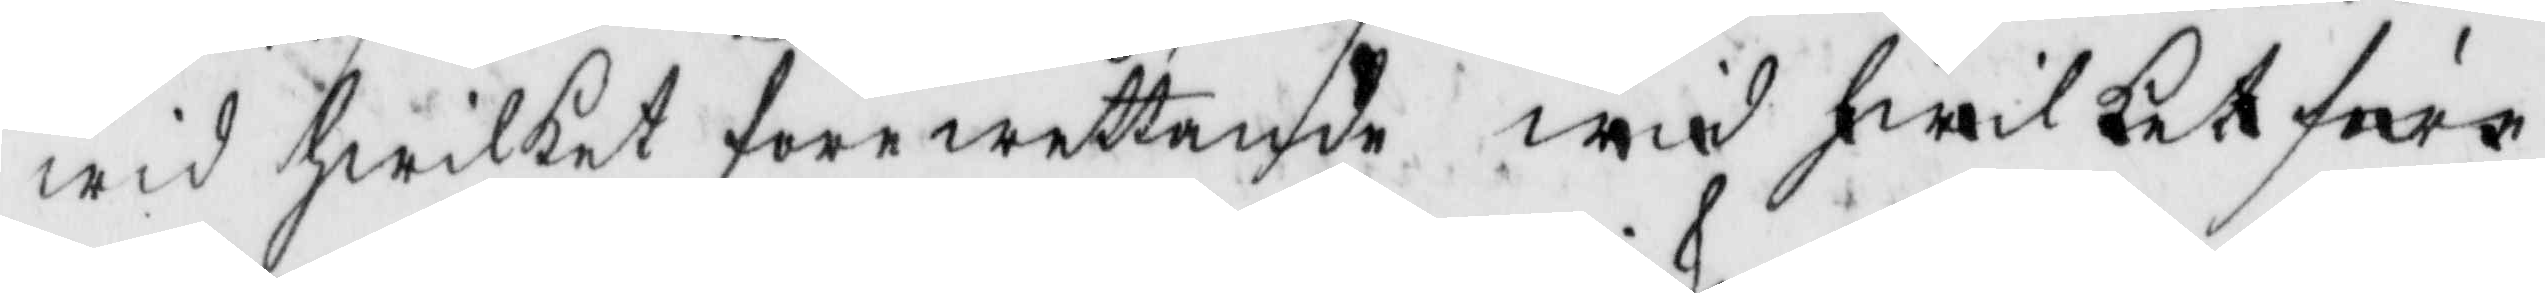wid hwilket förewettande wid hwilket före
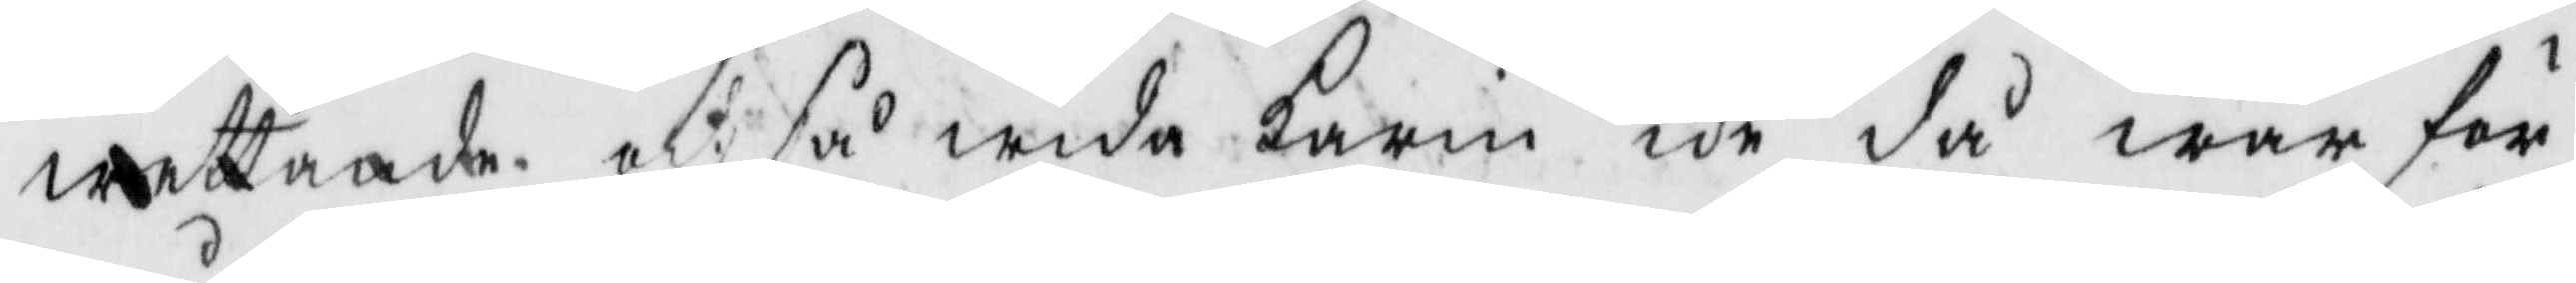wettande at så wida karin ike då war för
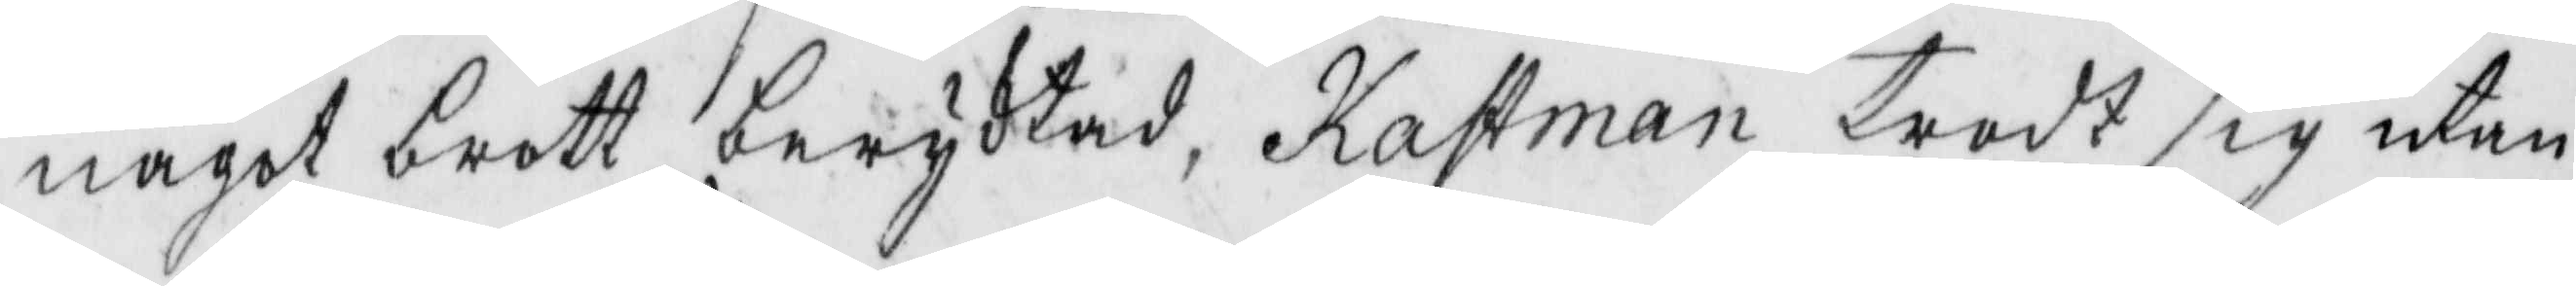något brott beryktad, kastman trodt sig utan
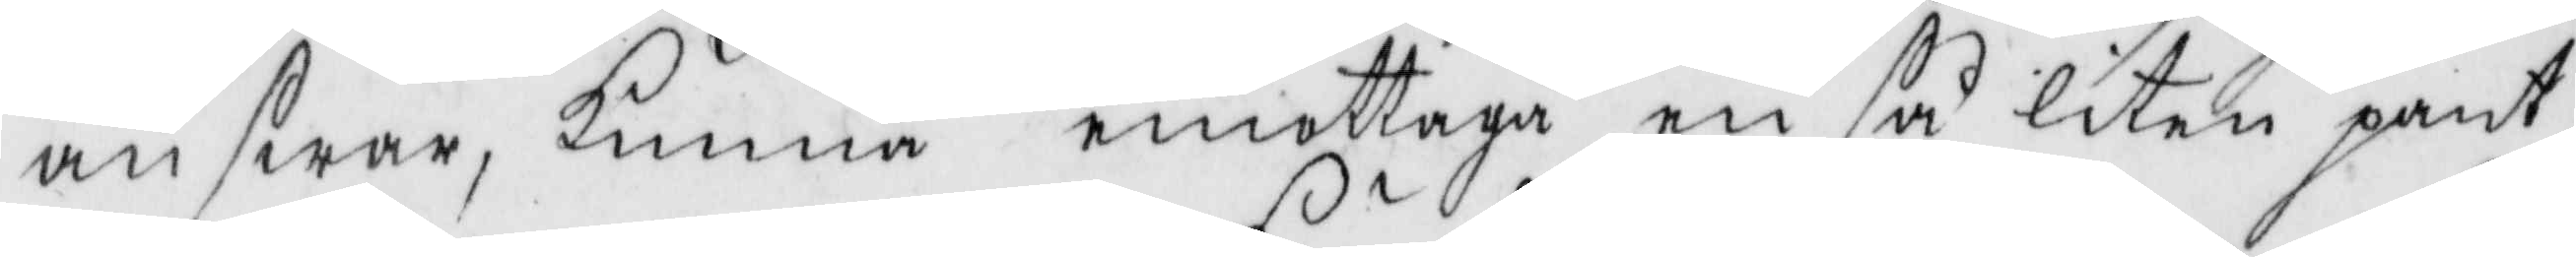answar, kunna emottaga en så liten pant
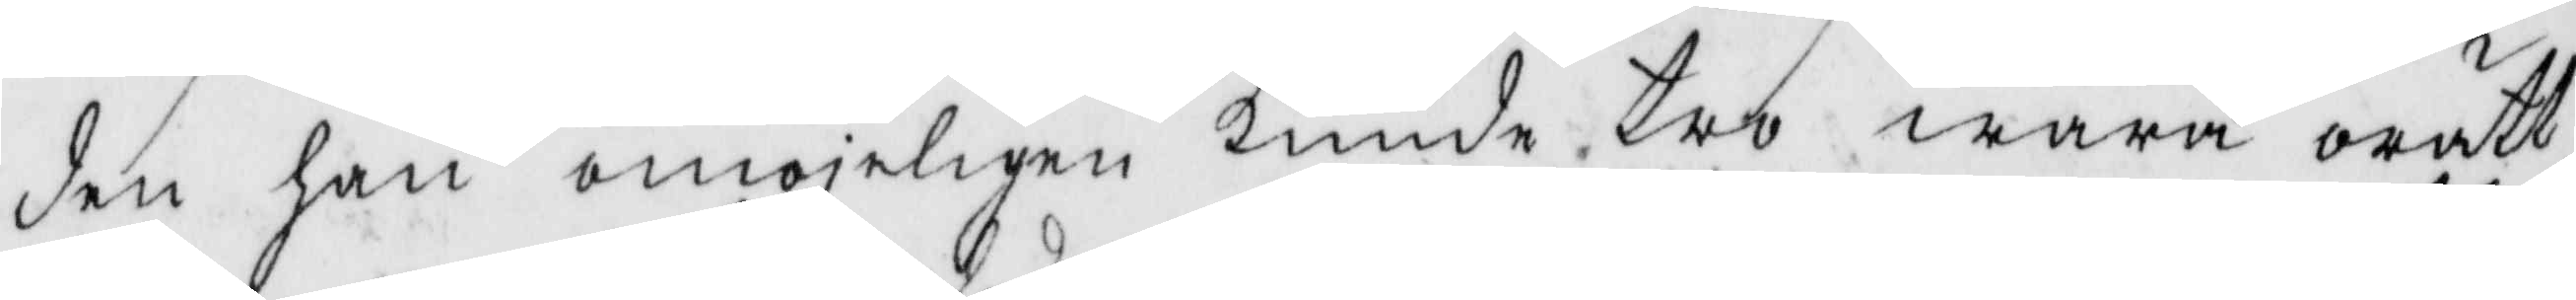den han omöjeligen kunde tro wara orätt
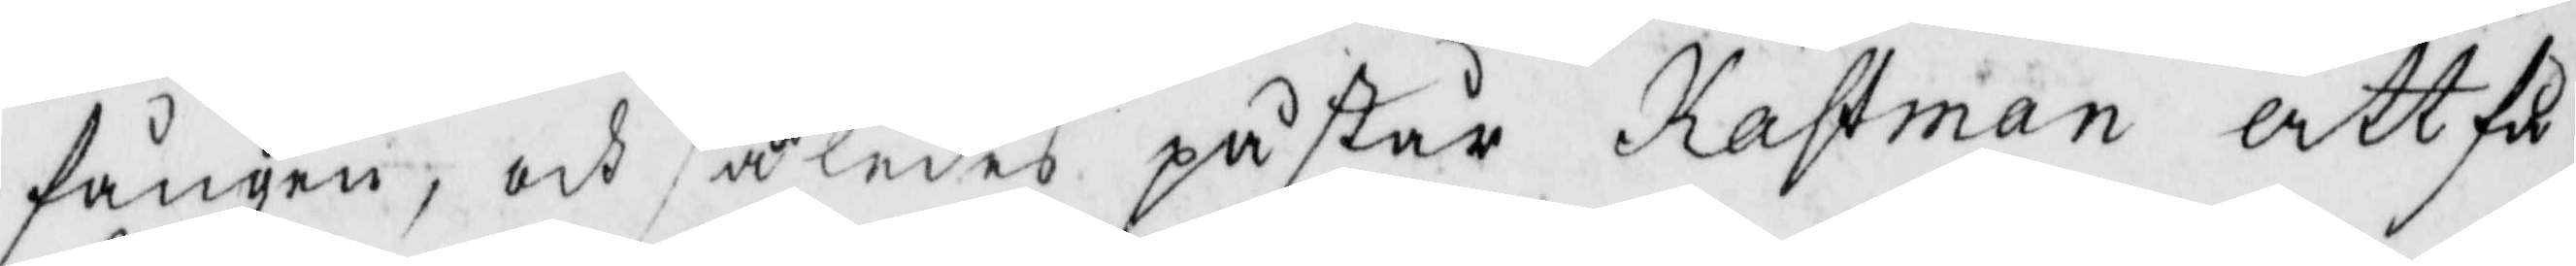fången, och således påstår Kastman att få
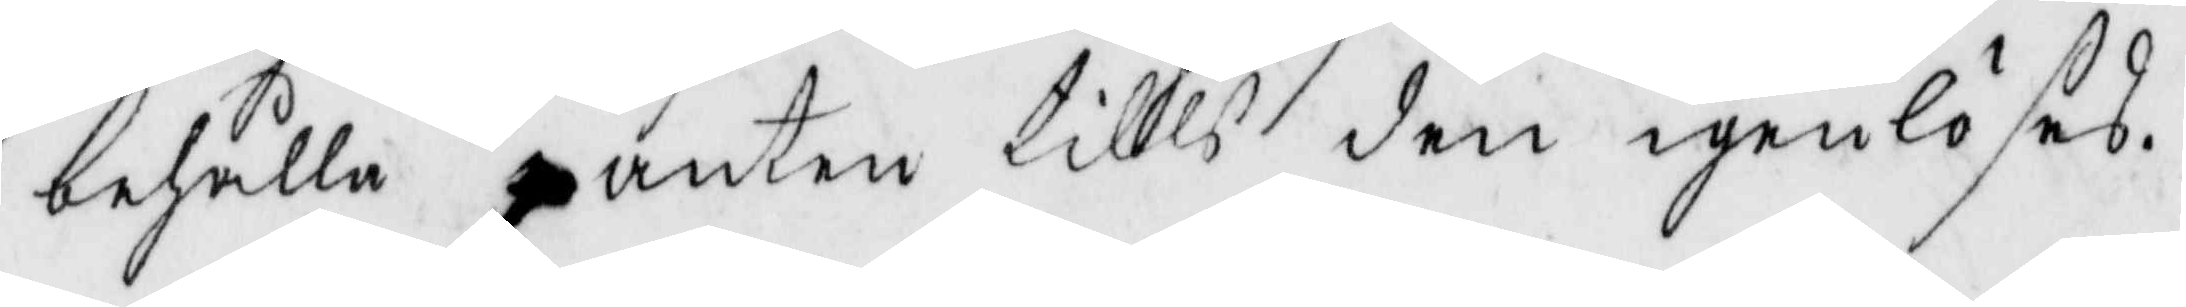behålla panten tills den igenlöses.
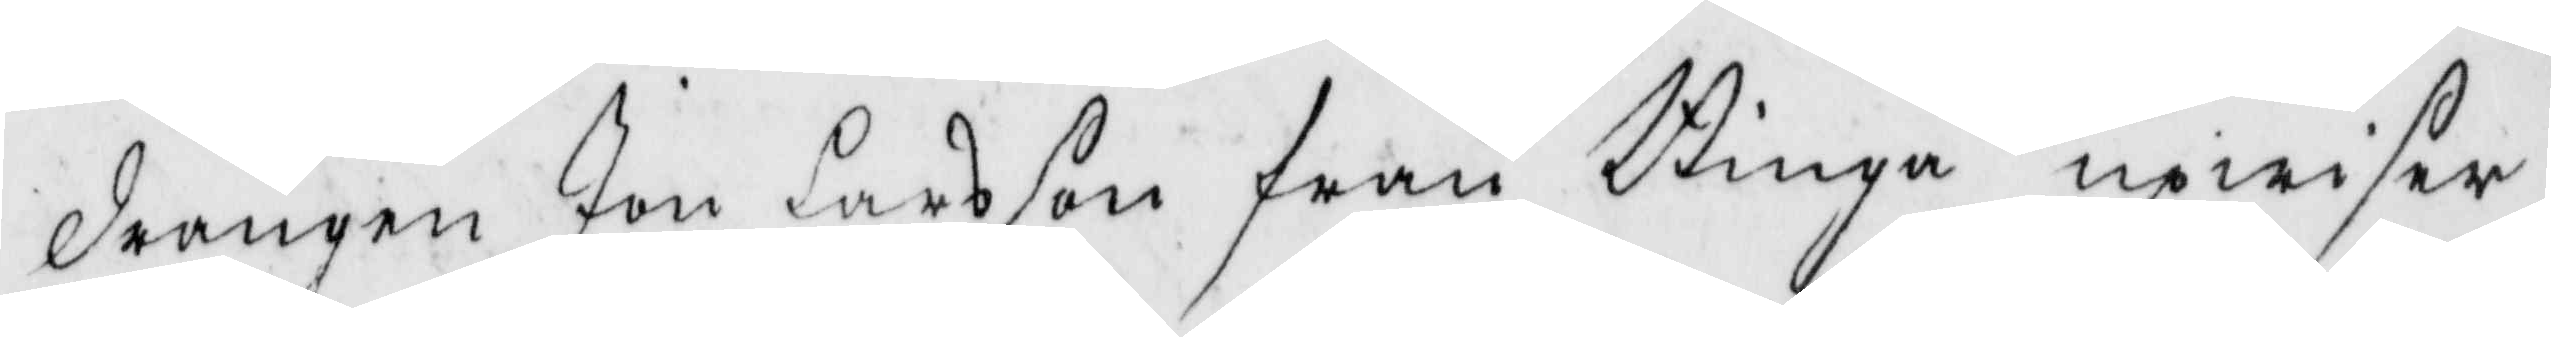drängen Jon Larsson från Binga upwisar
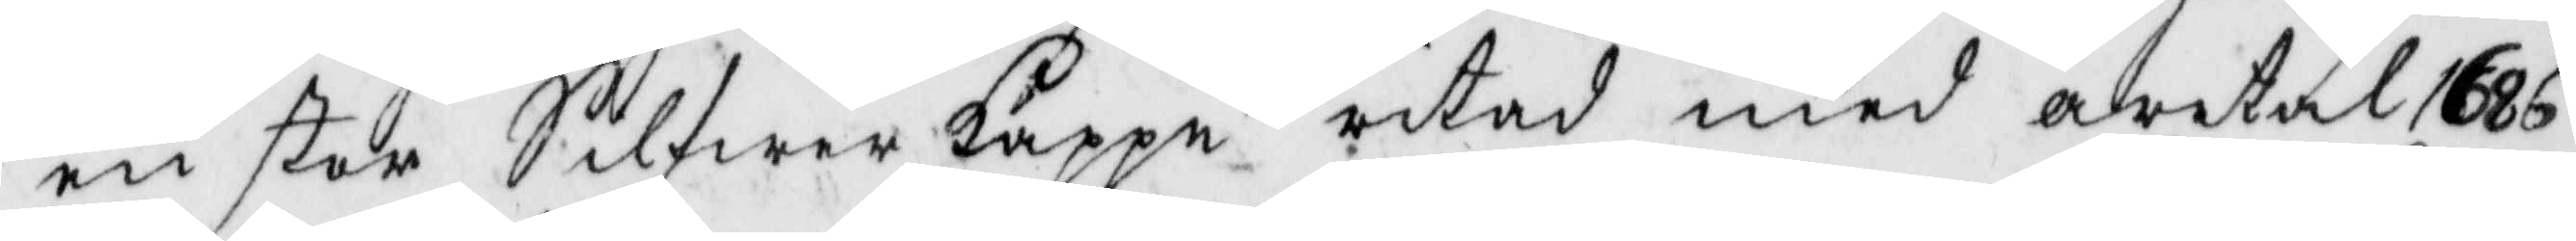en stor Silfwer kappe ritad med åretal 1686
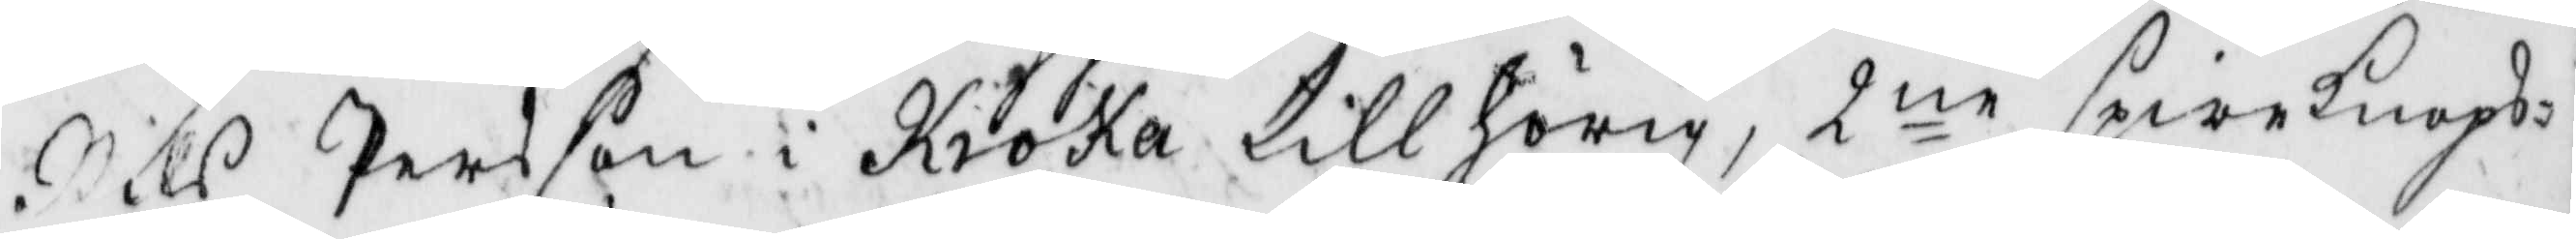Nils Persson i Kroka tillhörig, 2ne spireknops¬
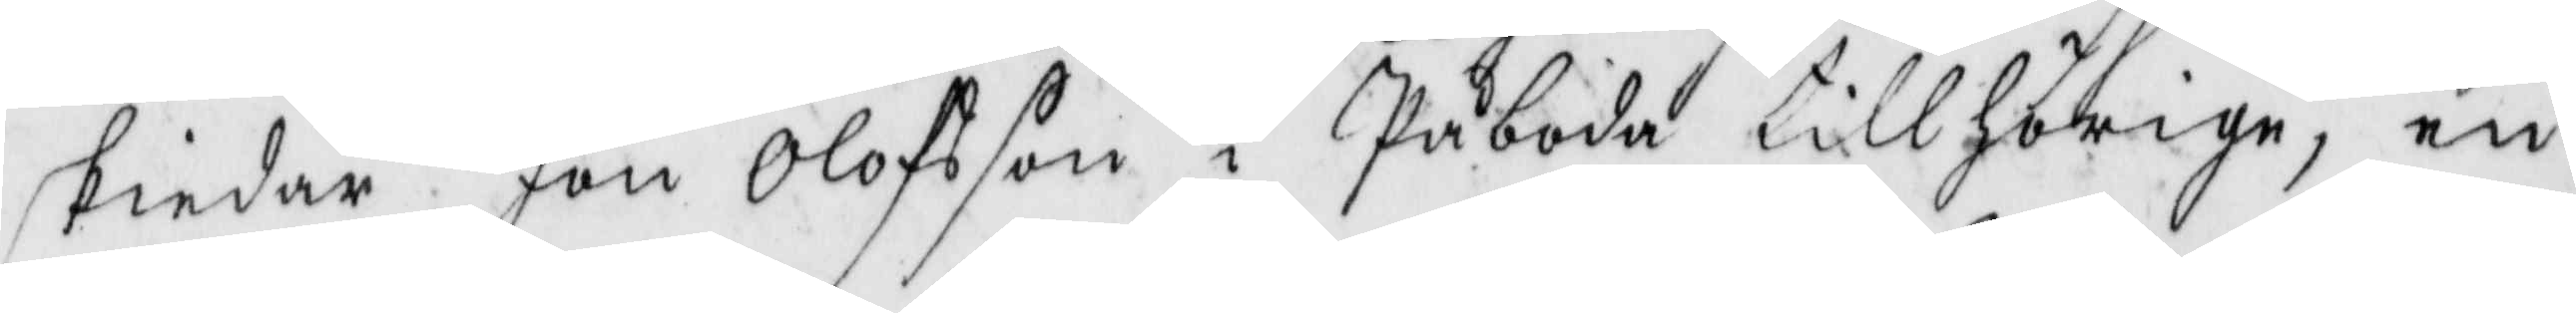skiedar Jan Olofsson i Påboda tillhöriga, en
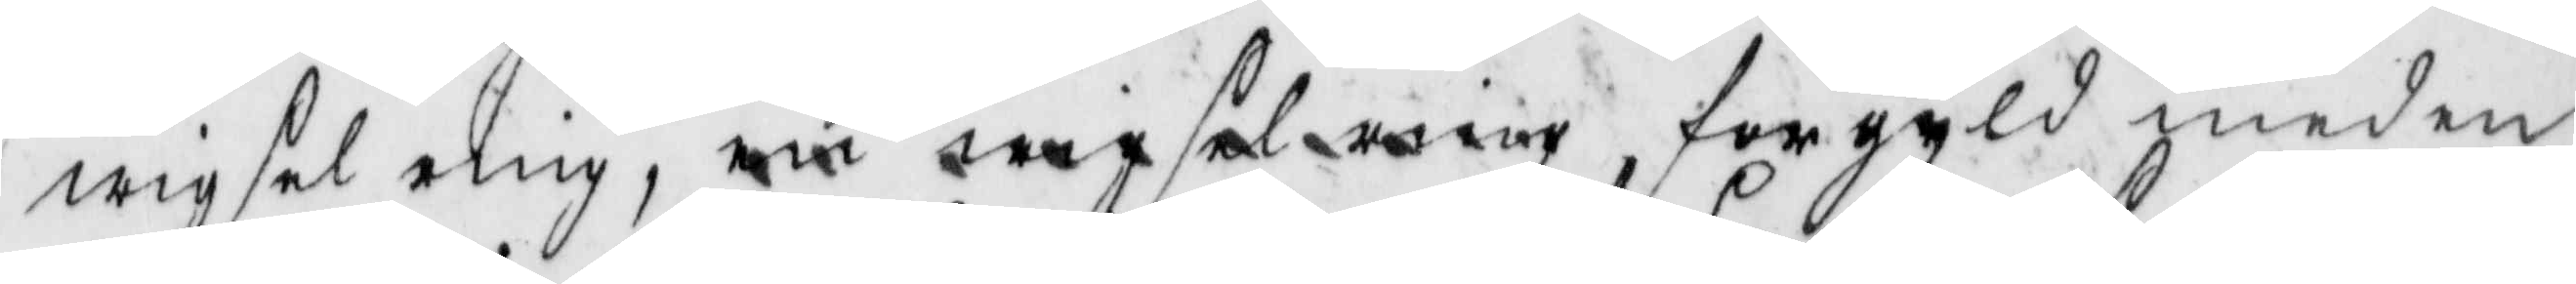wigselring, en wigselring, förgyld med en
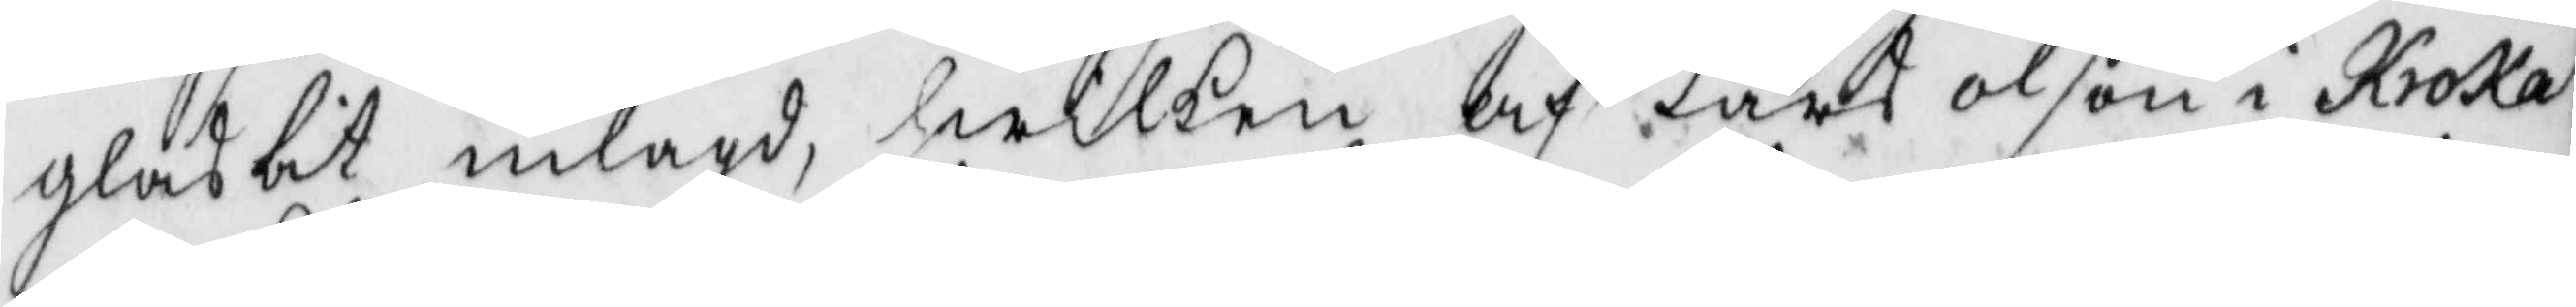glasbit inlagd, hwilken af Laars Olson i Kroka
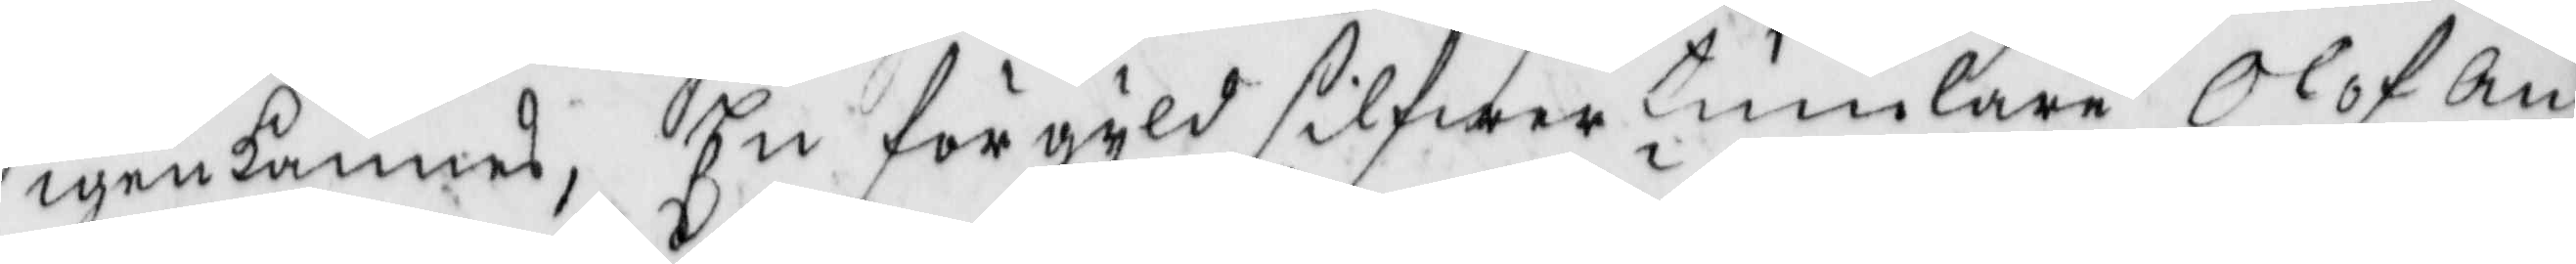igenkännes, En förgyld silfwertunlare Olof an¬
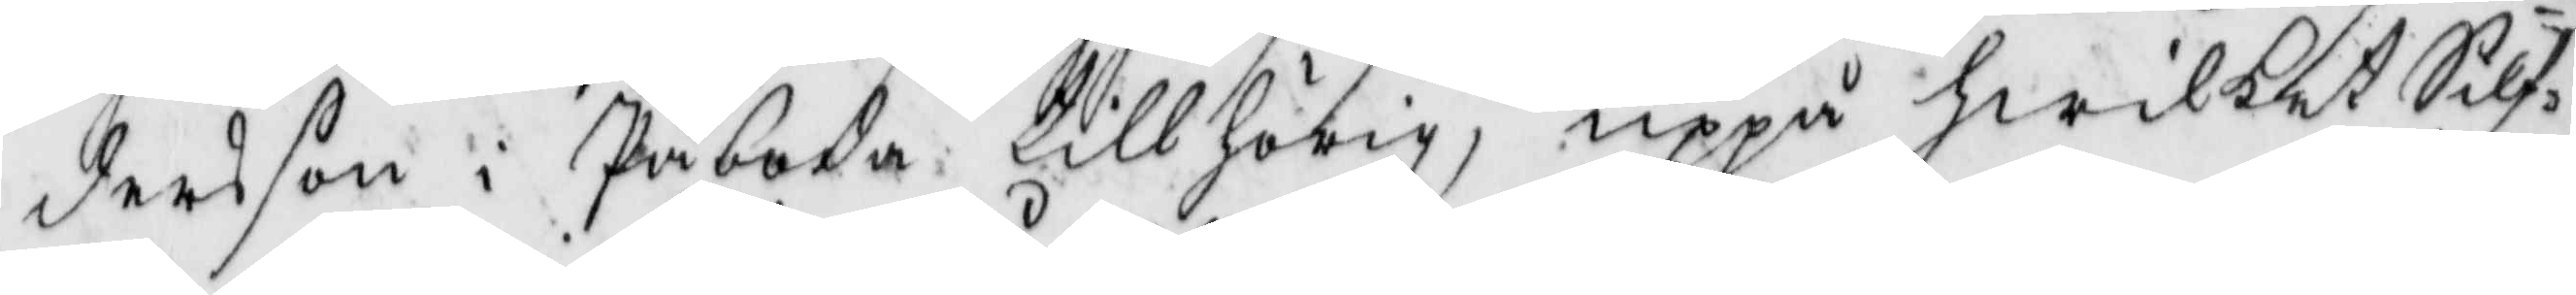dersson i Påboda tillhörig, uppå hwilket Silf¬
